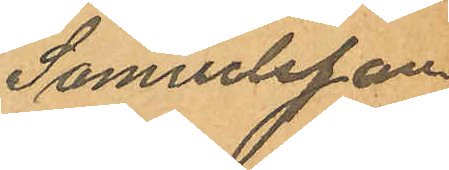Samuelsson
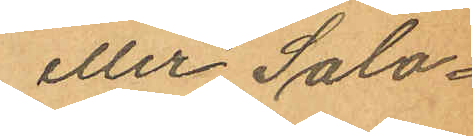eller Salo¬
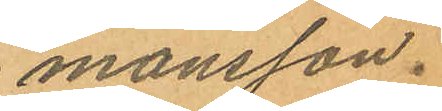monsson.
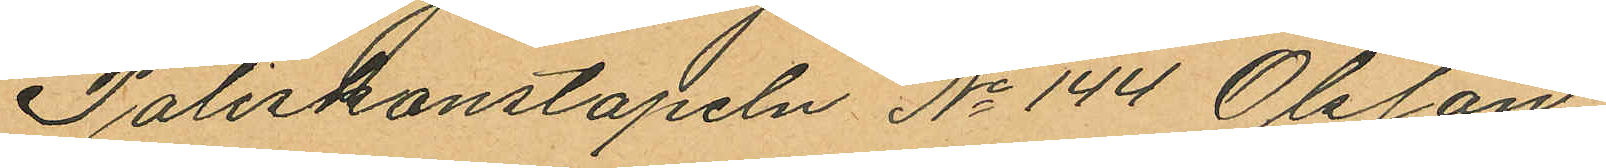Poliskonstapeln No 144 Olsson
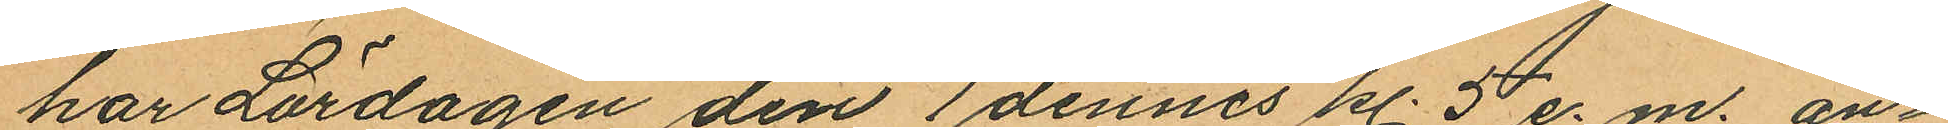har Lördagen den 1 dennes kl. 5 e. m an¬
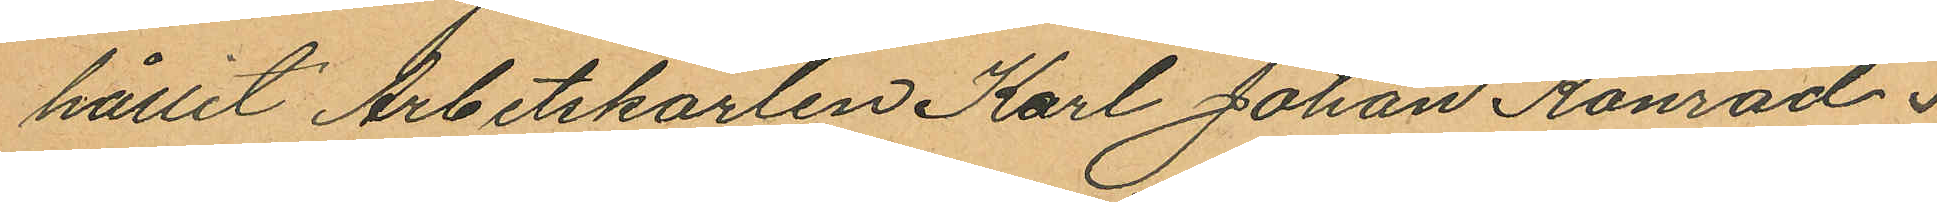hållit Arbetskarlen Karl Johan Konrad
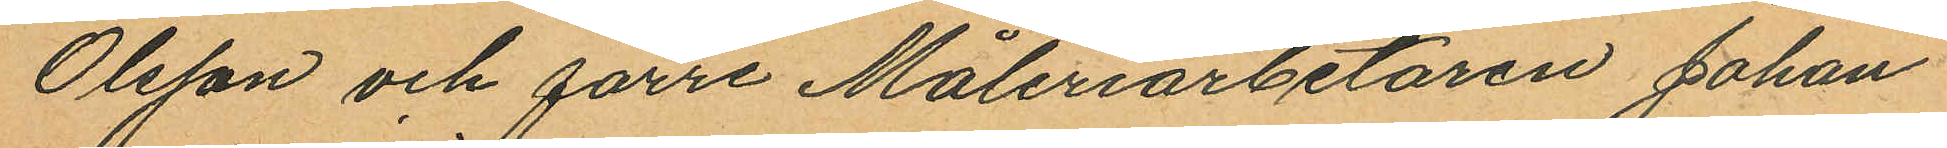Olsson och förre Måleriarbetaren Johan
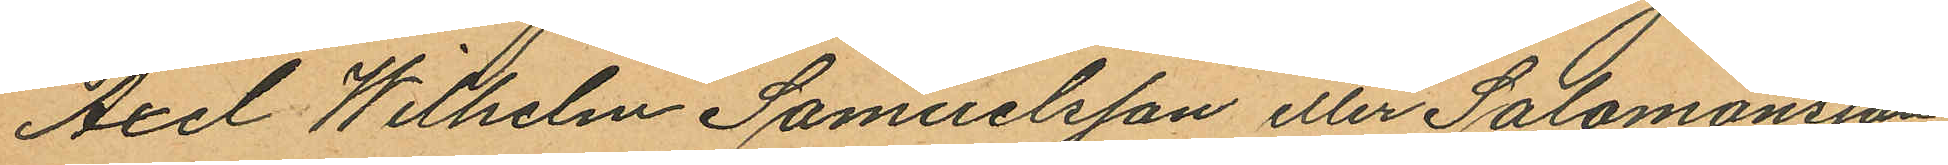Axel Wilhelm Samuelsson eller Salomonsson
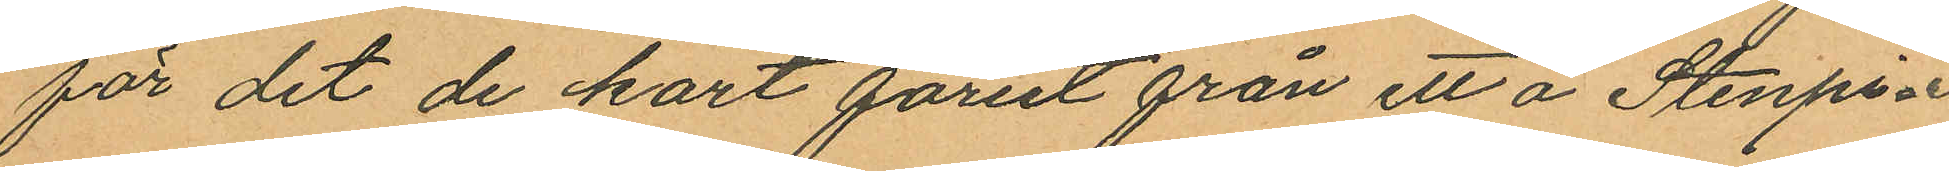för det de kort förut från ett å Stenpi¬
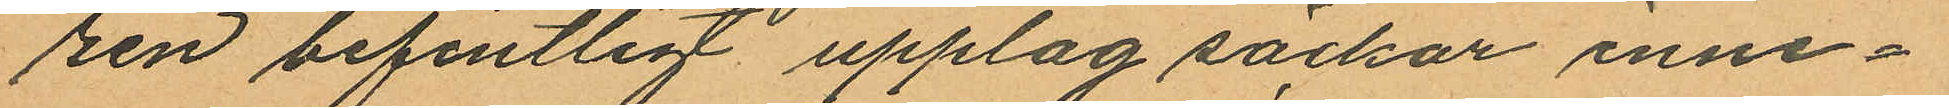ren befintligt upplag säckar inne¬
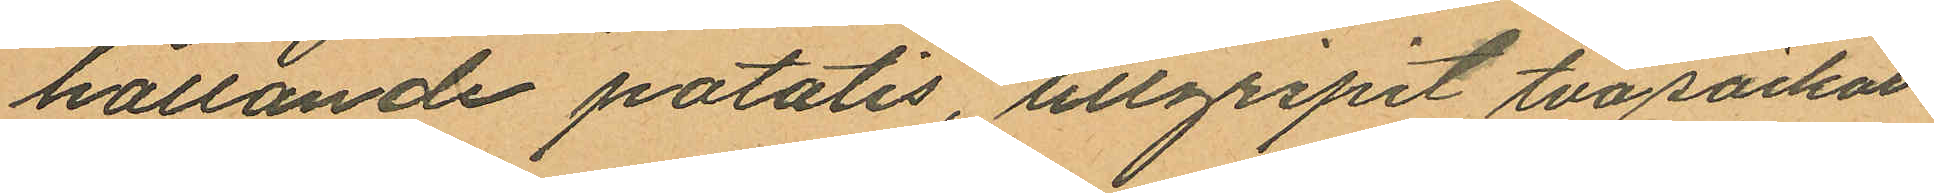hållande potatis, tillgripit två säckar
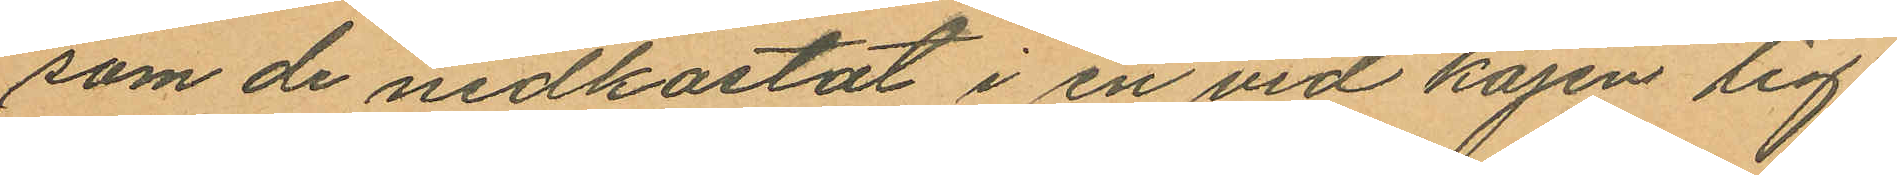som de nedkastat i en vid kajen lig¬
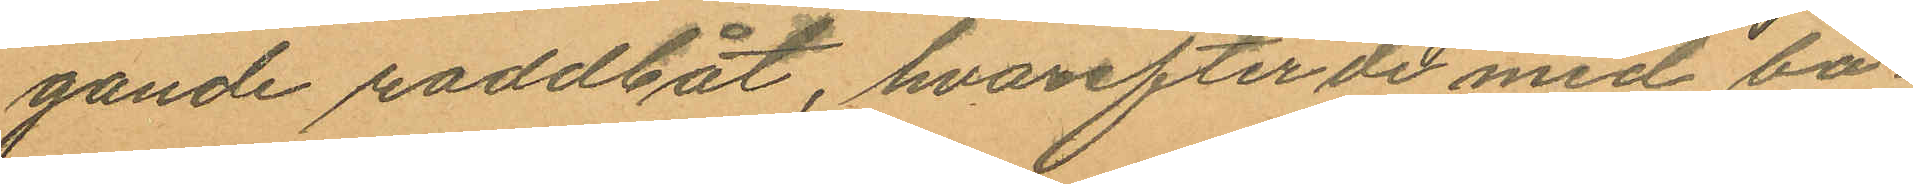gande roddbåt, hvarefter de med bå¬
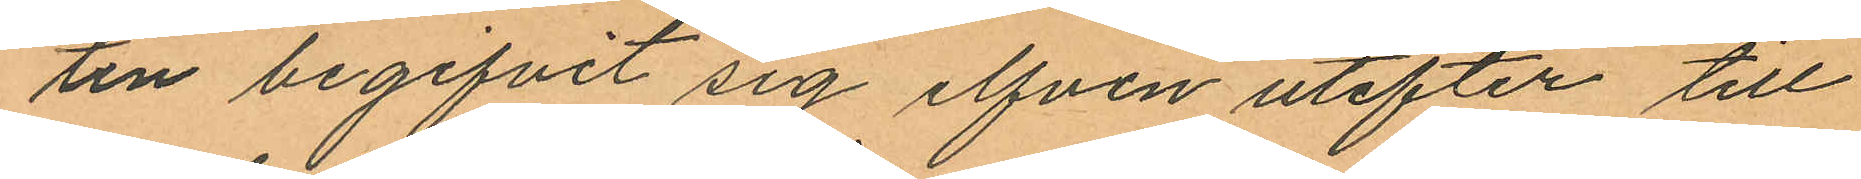ten begifvit sig elfven utefter till
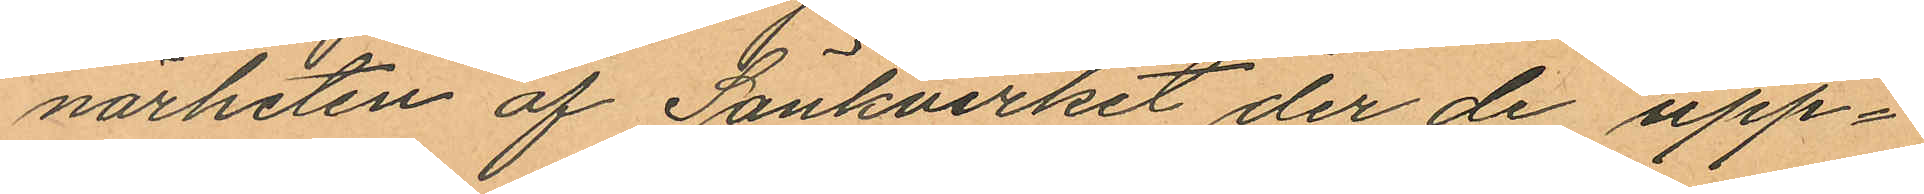närheten af Sänkverket der de upp¬
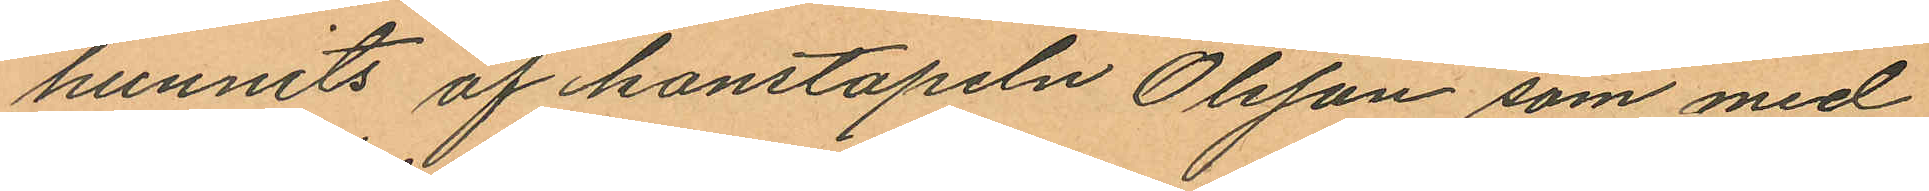hunnits af konstapeln Olsson som med
